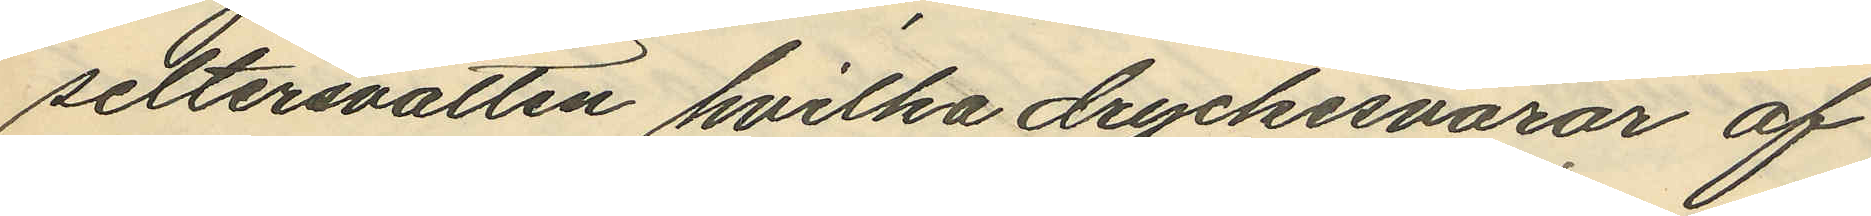seltersvatten hvilka dryckesvaror af
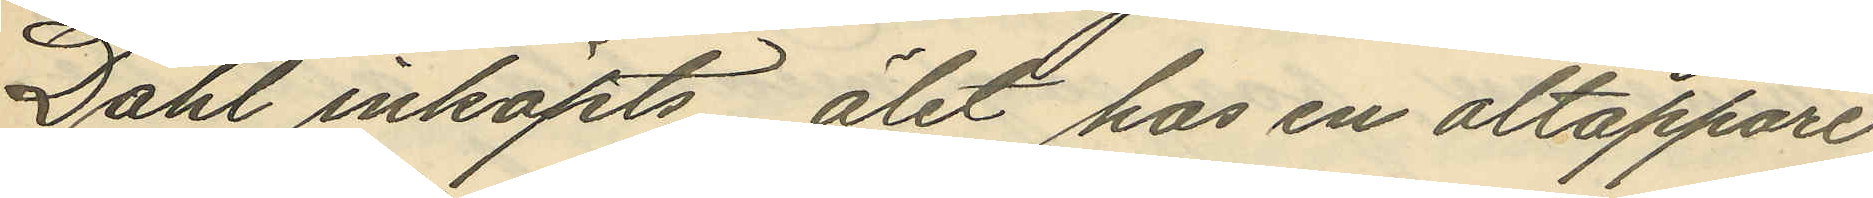Dahl inköpts, ölet hos en öltappare
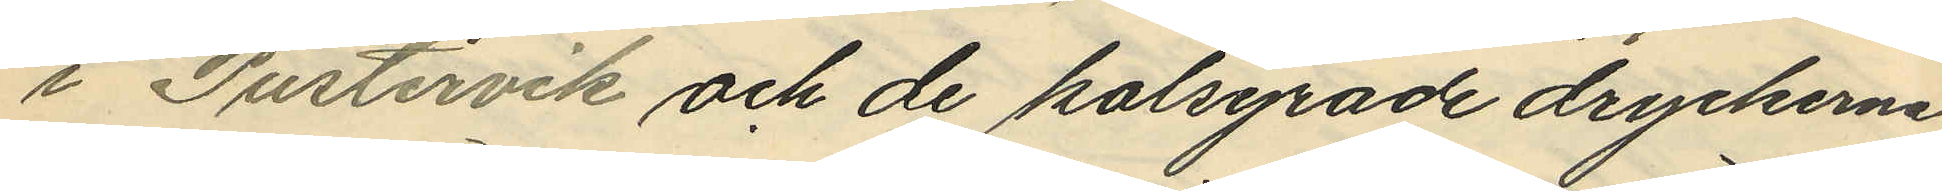i Pustervik och de kolsyrade dryckerna
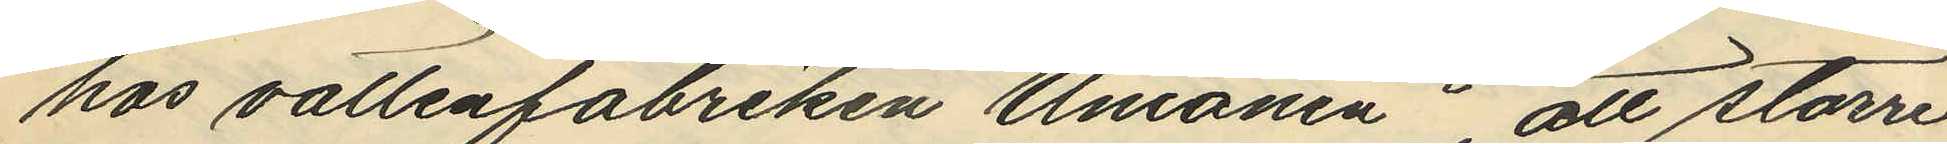hos vattenfabriken "Unionen", att större
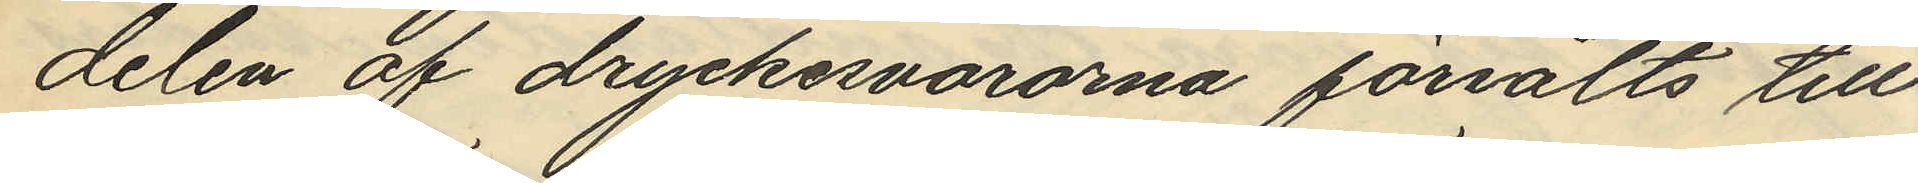delen af dryckesvarorna försålts till
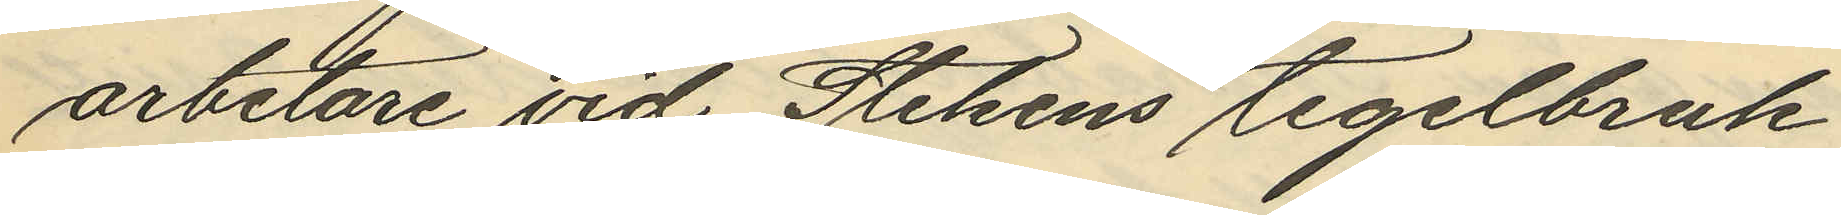arbetare vid Stekens tegelbruk
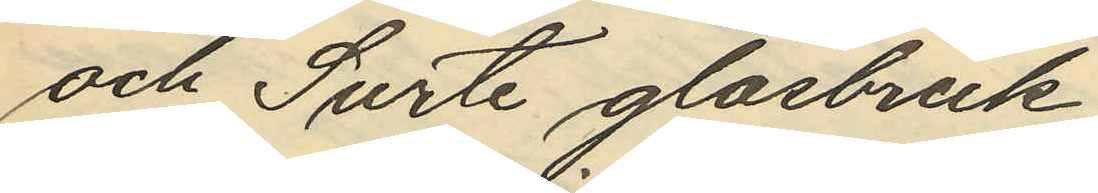och Surte glasbruk
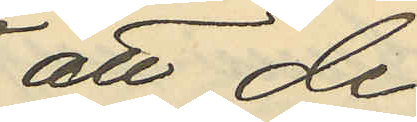att de
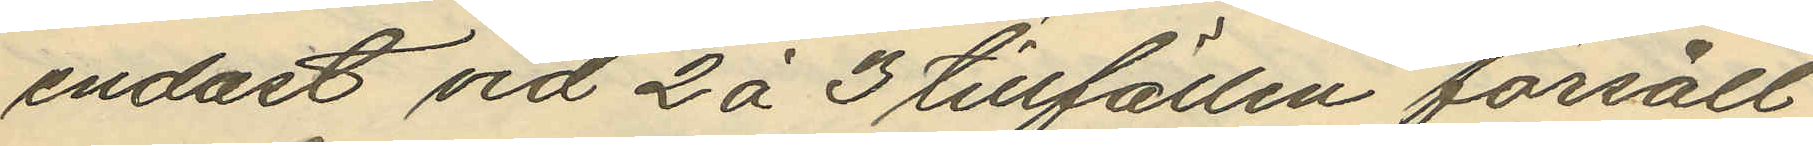endast vid 2 á 3 tillfällen försålt
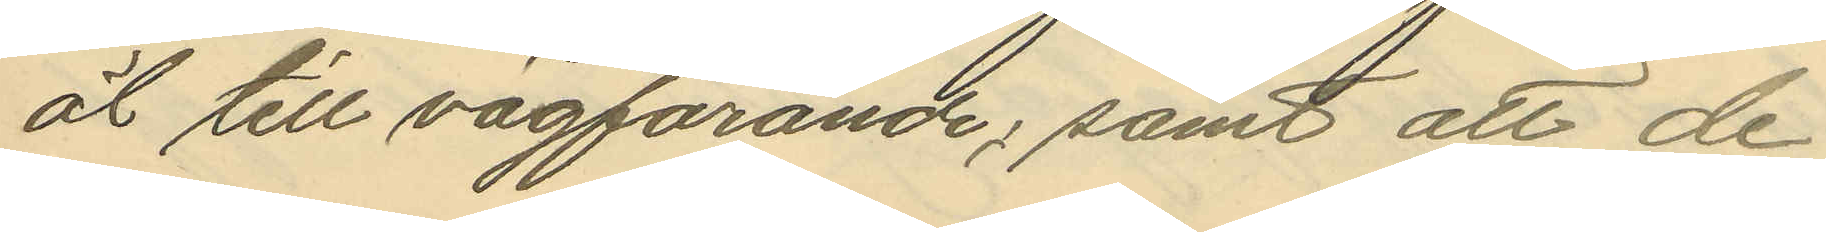öl till vägfarande; samt att de
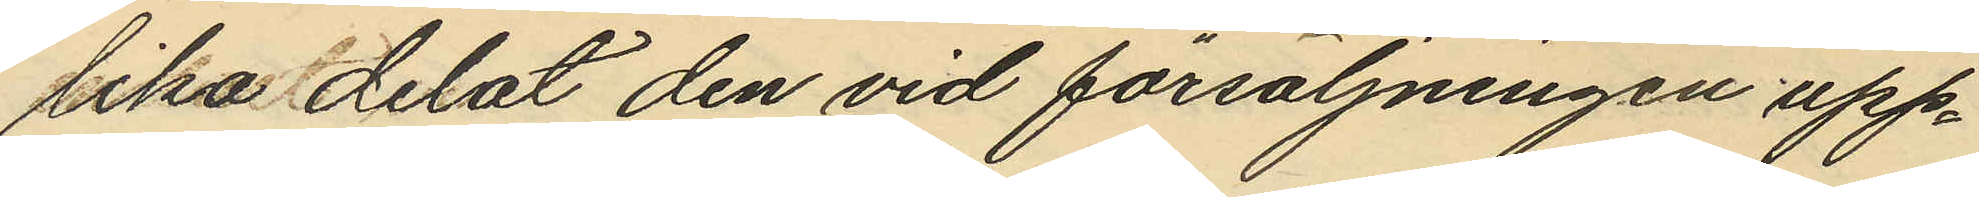lika delat den vid försäljningen upp¬
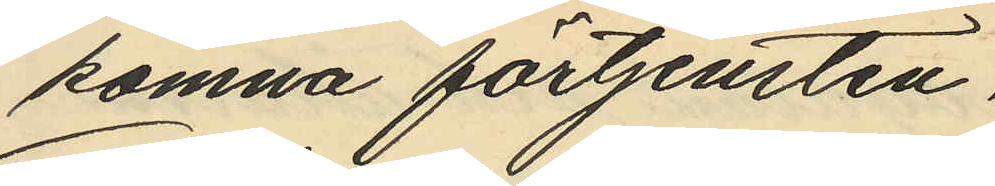komna förtjensten.
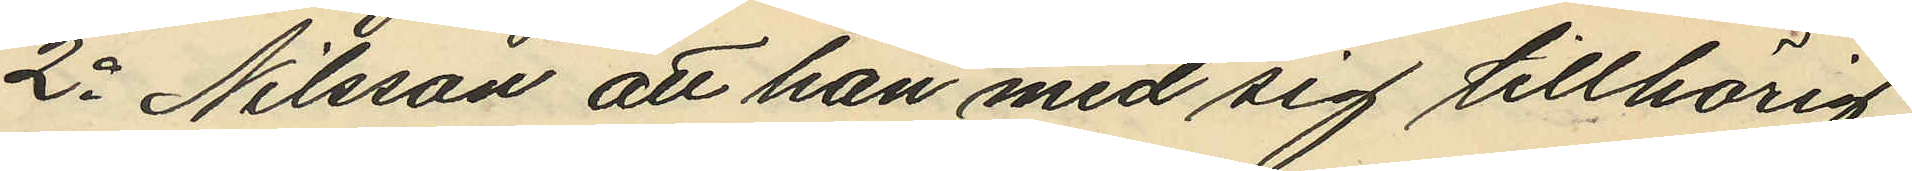2o Nilsson att han med sig tillhörig
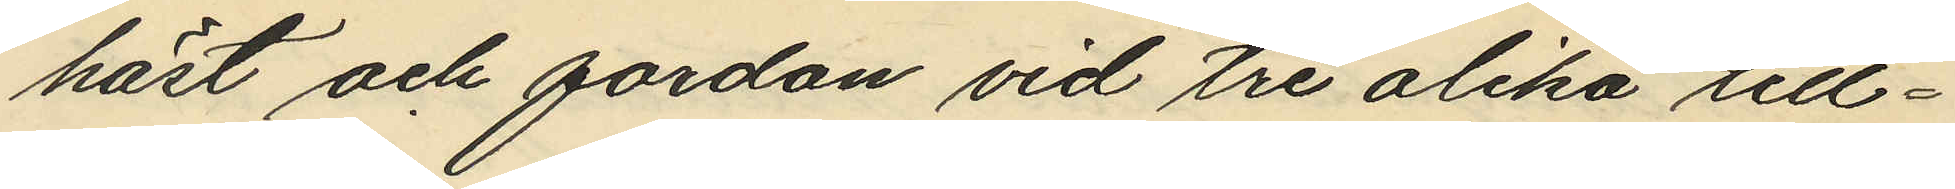häst och fordon vid tre olika till¬
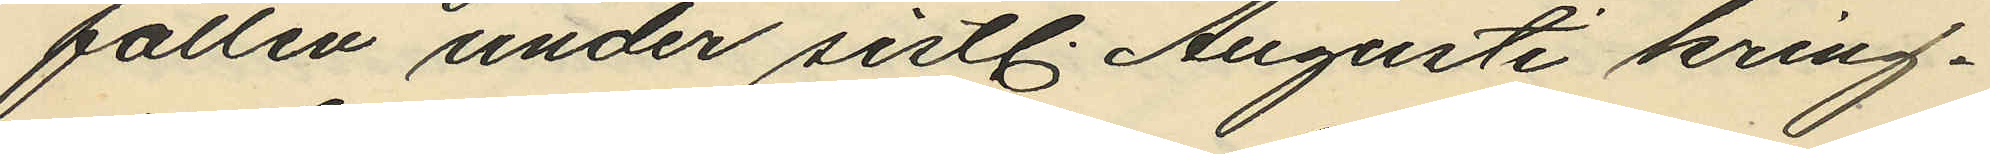fällen under sistl. Augusti kring¬
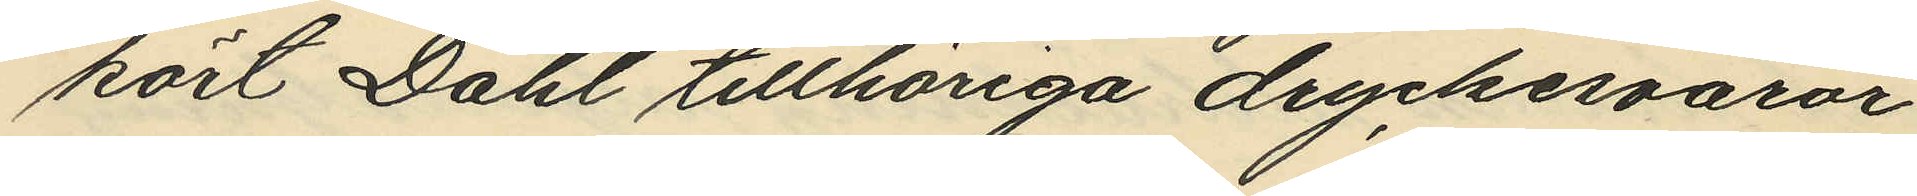kört Dahl tillhöriga dryckesvaror
